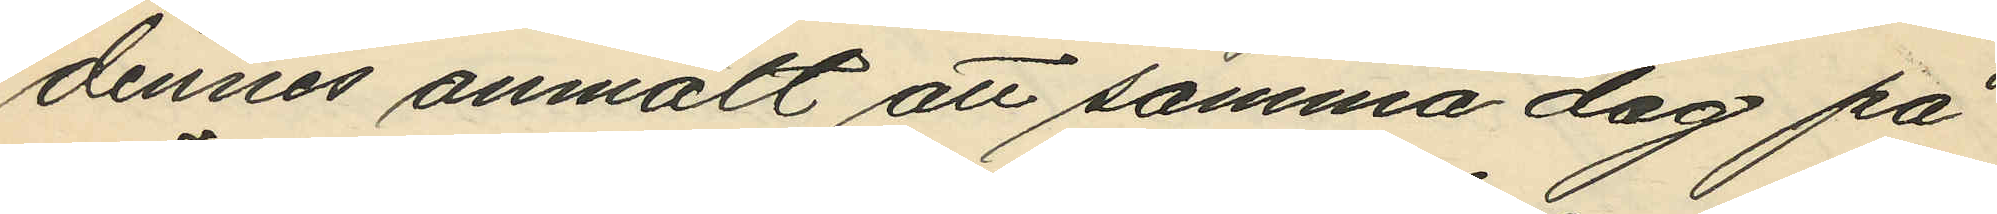dennes anmält att samma dag på
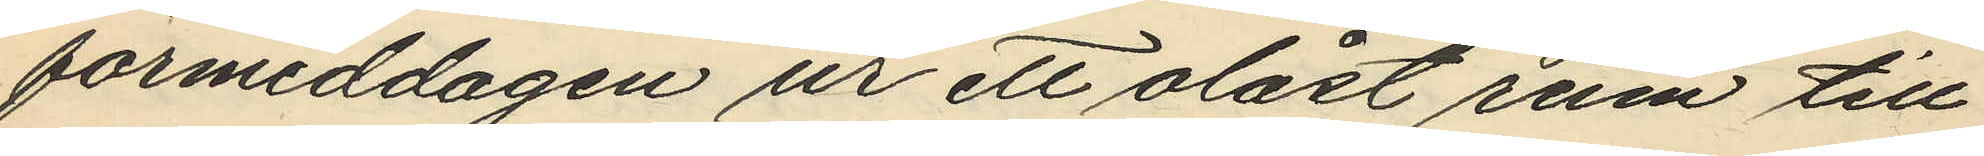förmiddagen ur ett olåst rum till
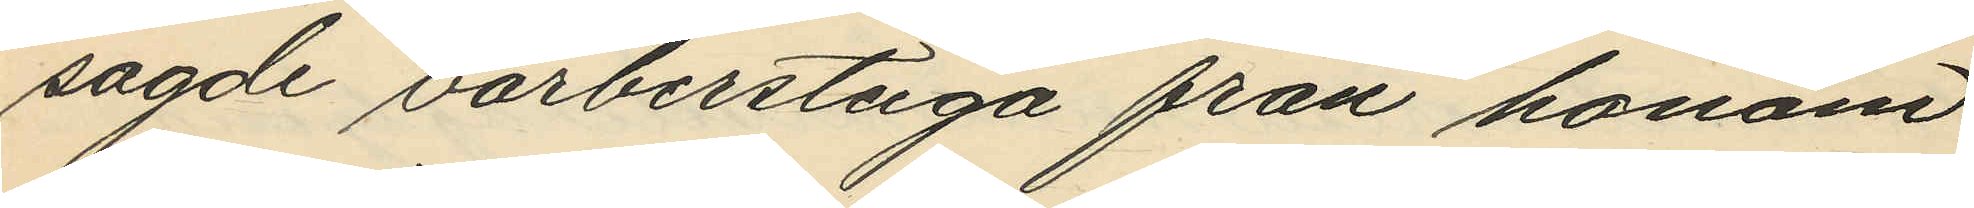sagde barberstuga från honom
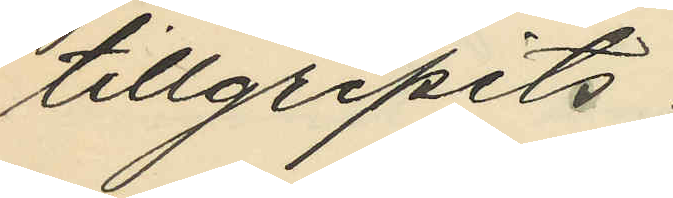tillgripits:
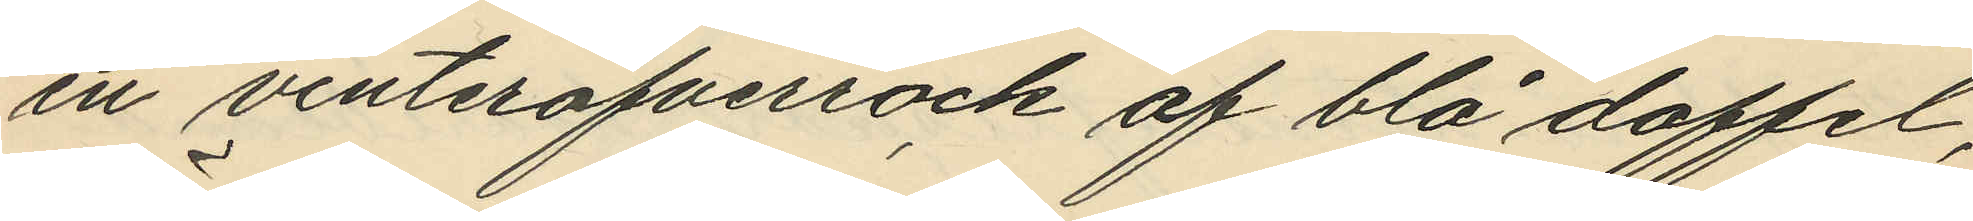en vinteröfverrock af blå doffel,
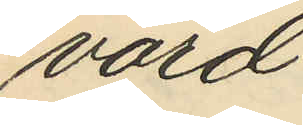värd
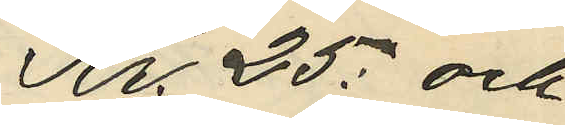Kr. 25: och
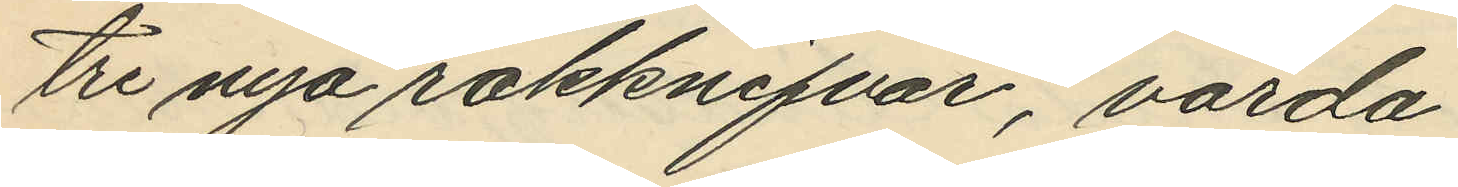tre nya rakknifvar, värda
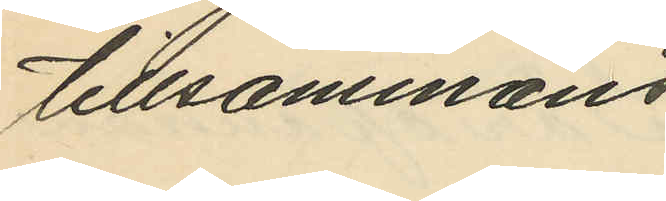tillsammans
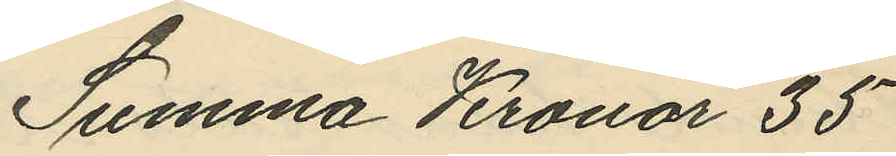Summa Kronor 35
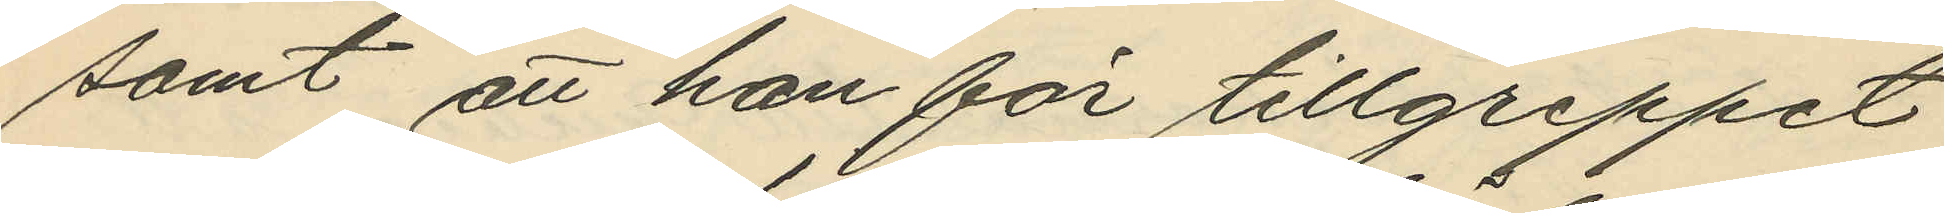samt att han för tillgreppet
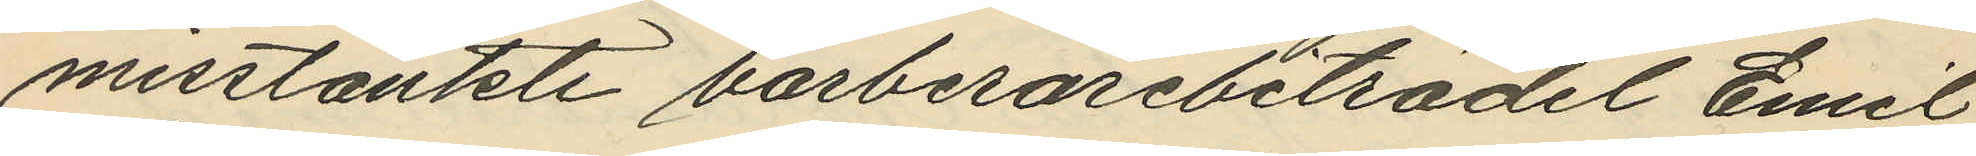misstänkte barberarebiträdel Emil
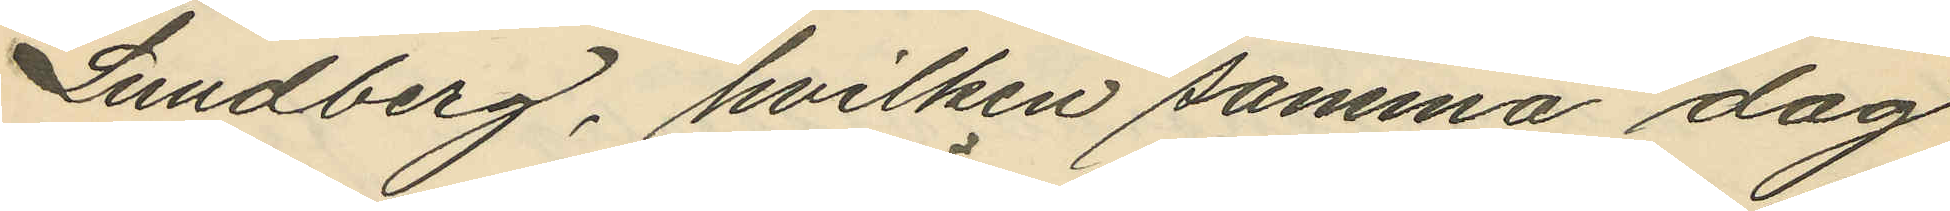Lundberg, hvilken samma dag
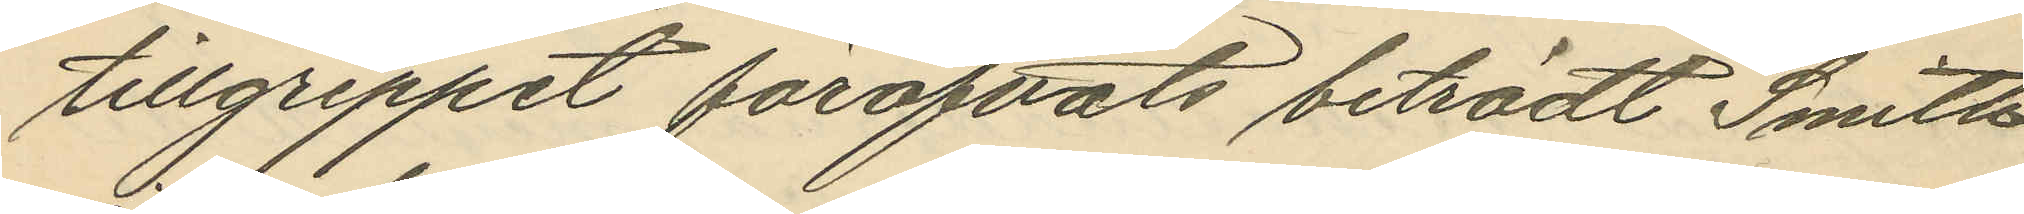tillgreppet föröfvats biträdt Smith
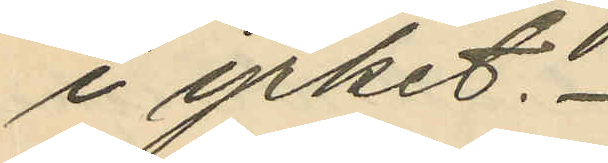i yrket. 
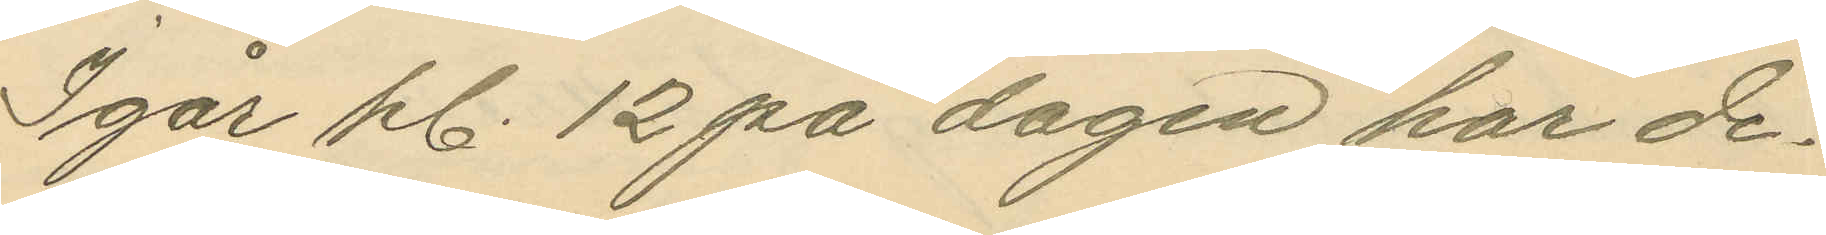Igår kl. 12 på dagen har de¬
